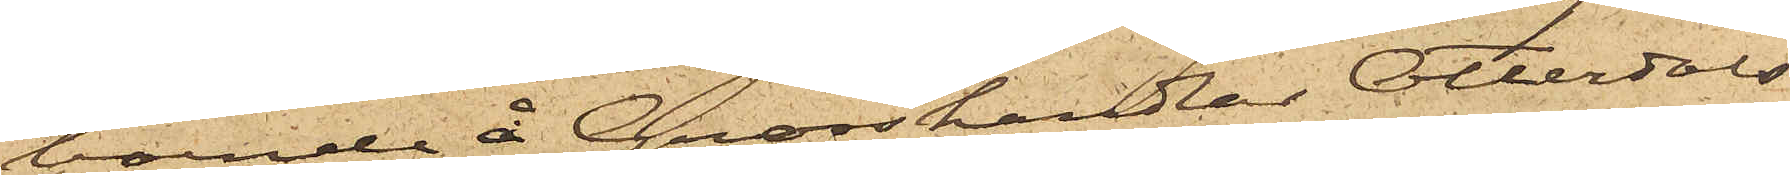boende å Grosshandlar Otterdals
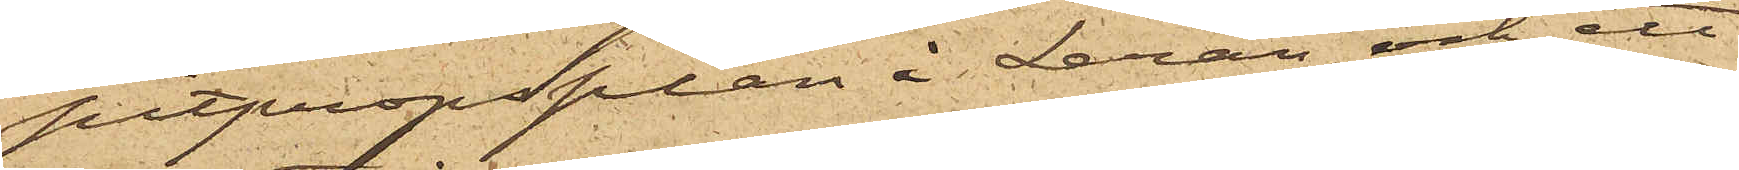pitpropsplan i Leran och ett
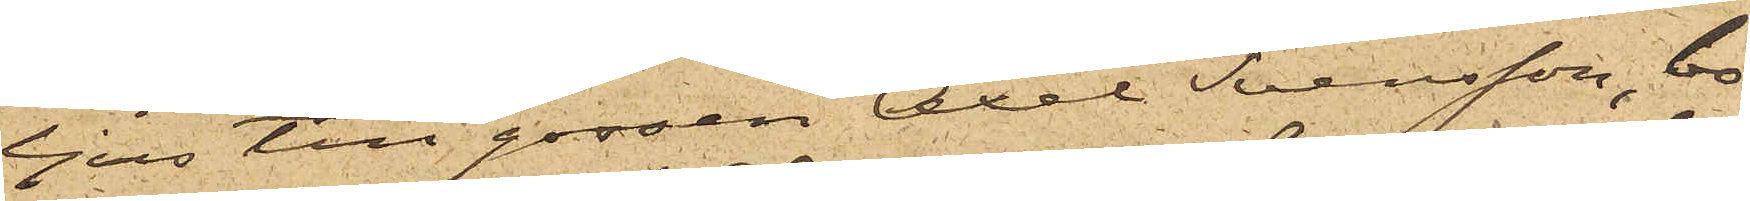ljus till gossen Axel Svensson, bo¬
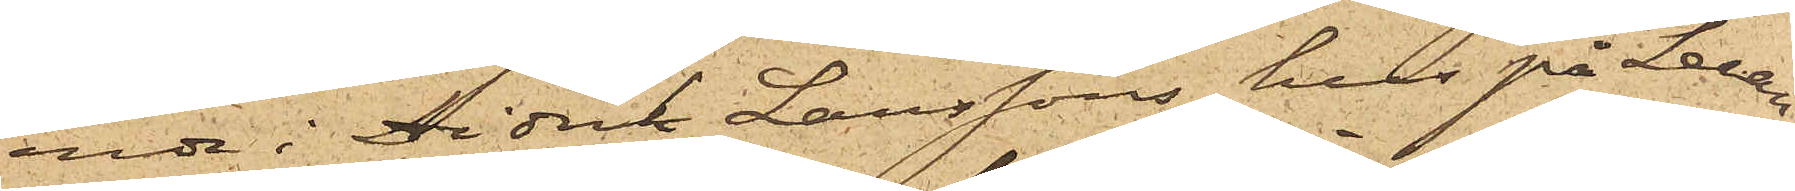ande i Didrik Larssons hus på Leran,
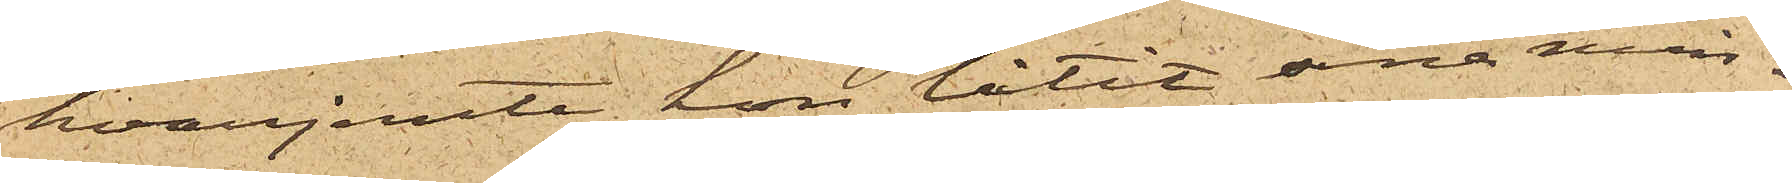hvarjemte hon låtit sina min¬
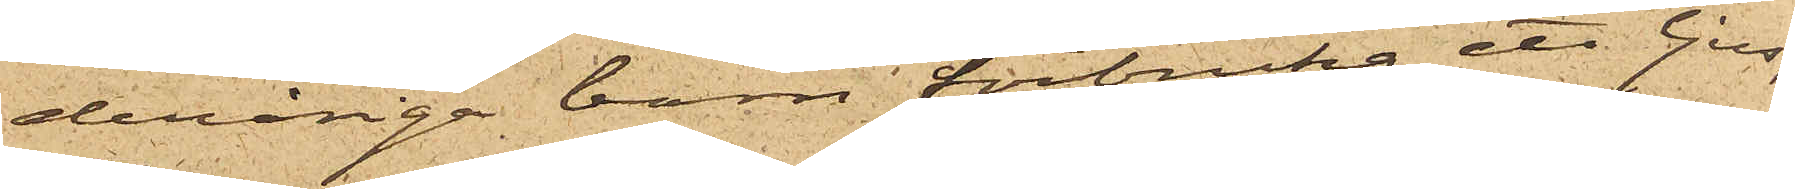deråriga barn förbruka ett ljus;
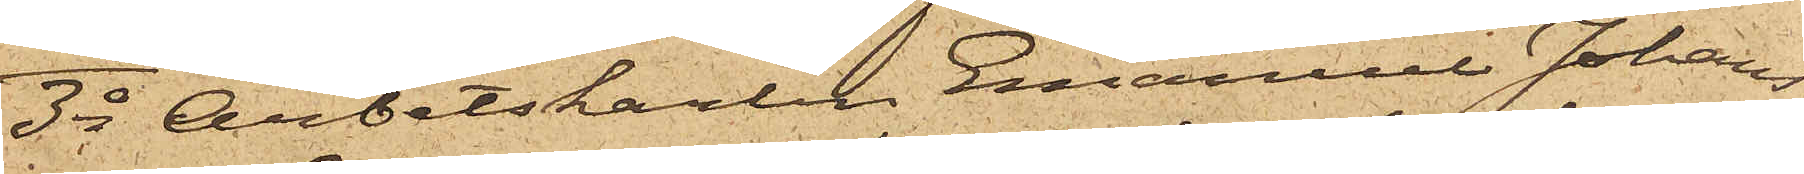3o Arbetskarlen Emanuel Johans¬
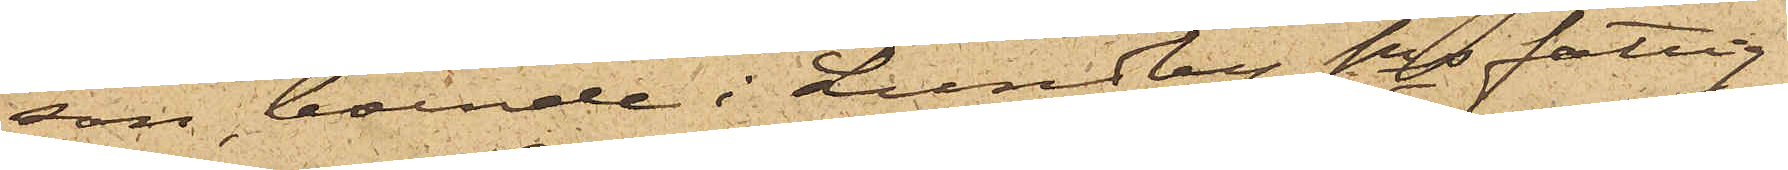son, boende i Lundby Sns fattig¬
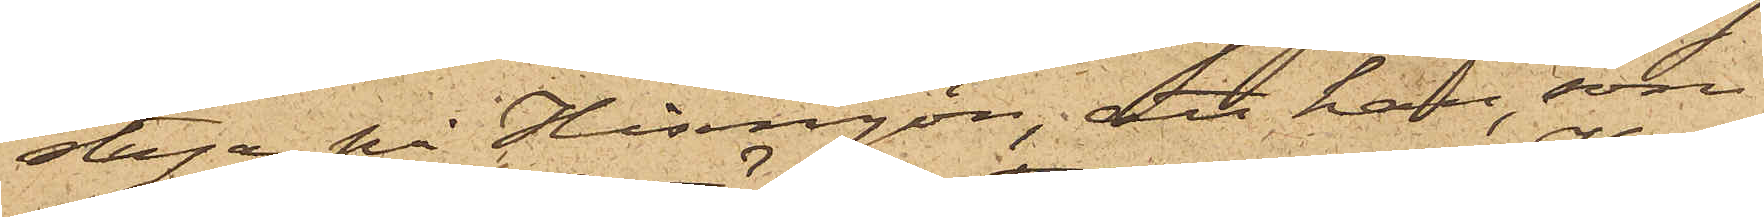stuga på Hisingön; att han, som
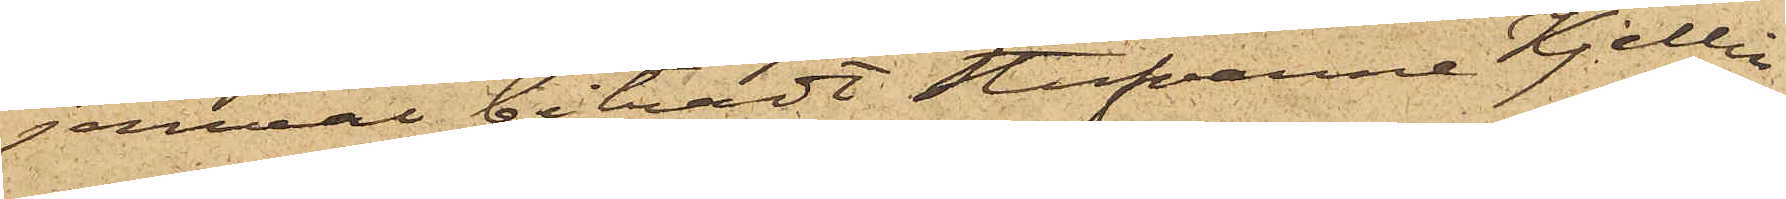jemväl biträdt Stufvarne Kjellin
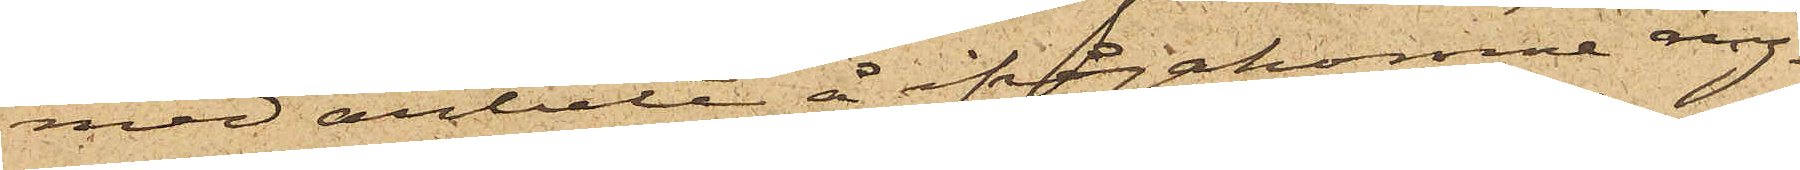med arbete å ifrågakomne ång¬
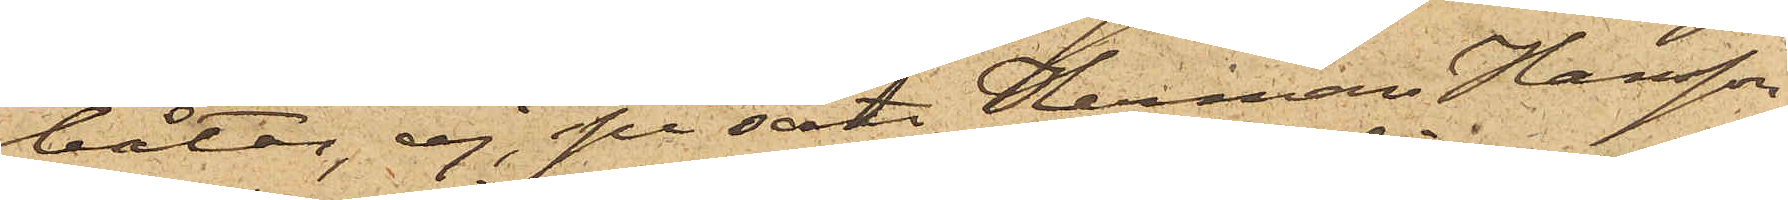båtar, ej, på sätt Herman Hansson
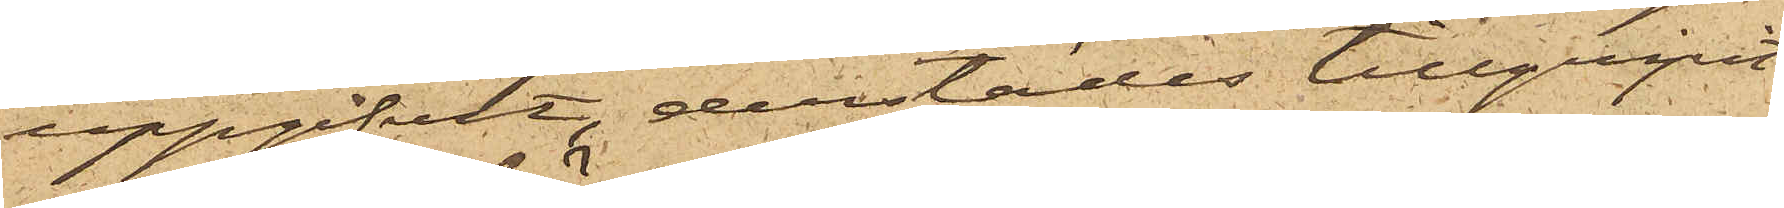uppgifvit, derstädes tillgripit
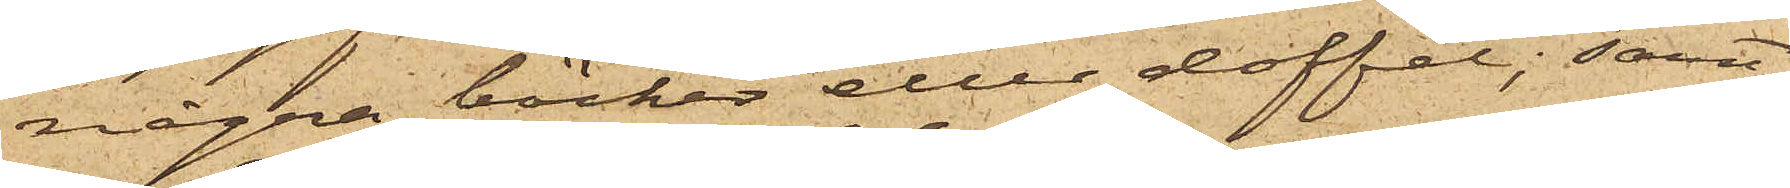några böcker eller doffel; samt
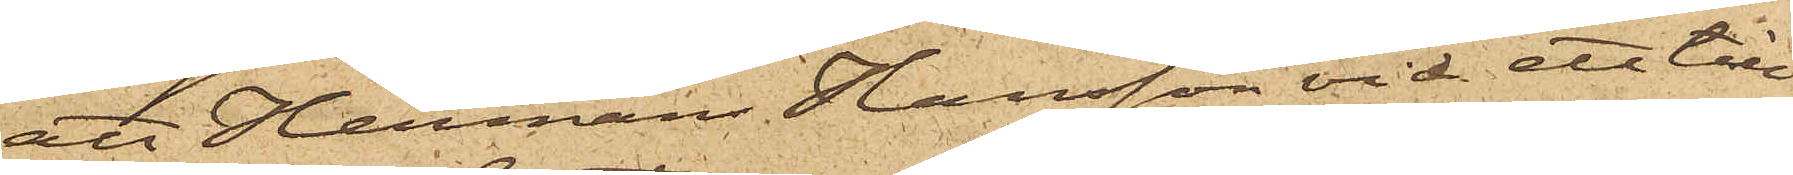att Herman Hansson vid ett till¬
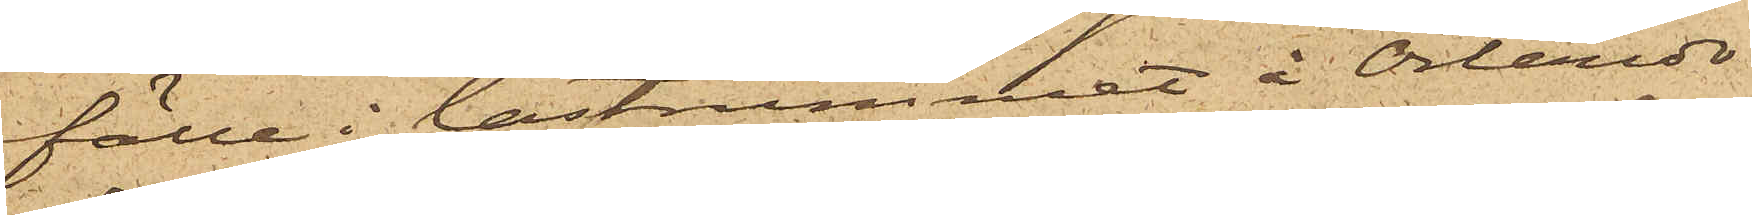fälle i lastrummet å Orlando
